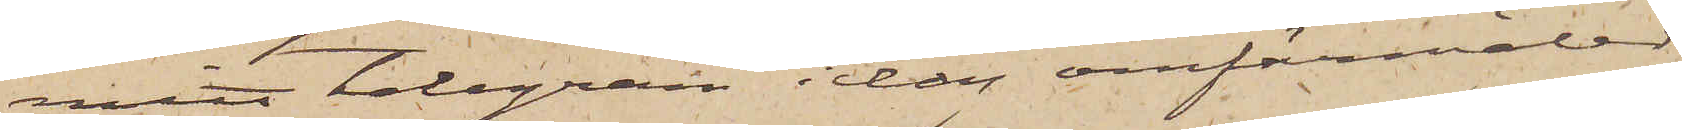mitt telegram idag omförmäler,
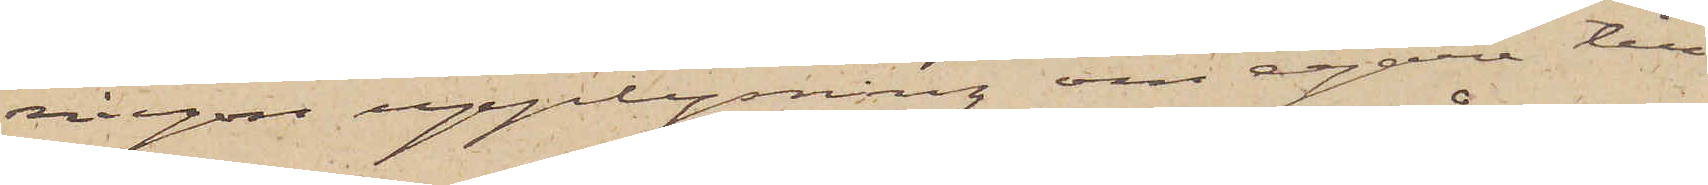någon upplysning om egare till
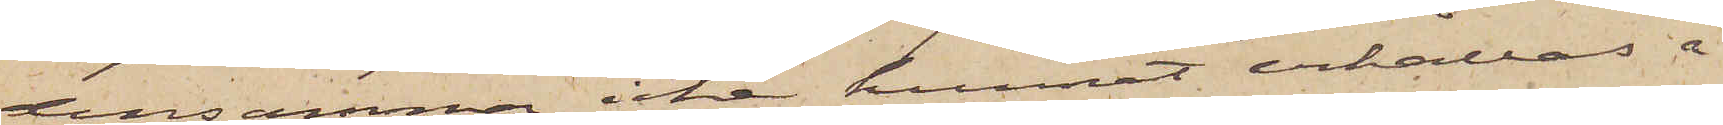densamma icke kunnat erhållas å
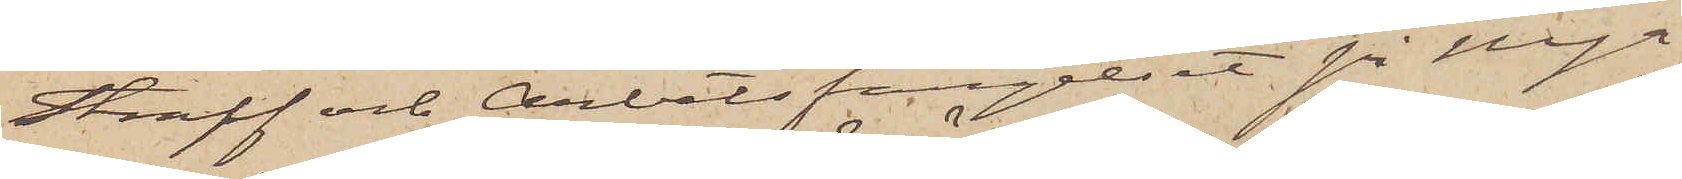Straff och Arbetsfängelset på Nya
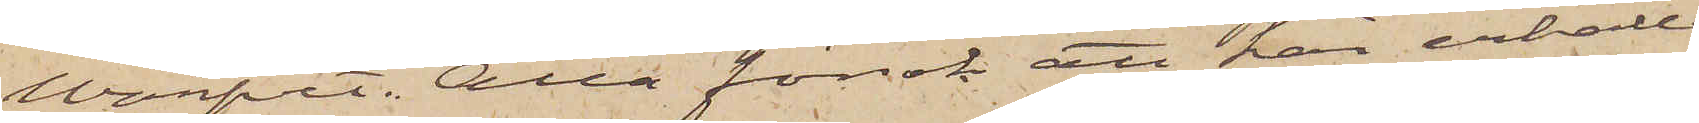Warfvet. Alla försök att här erhålla
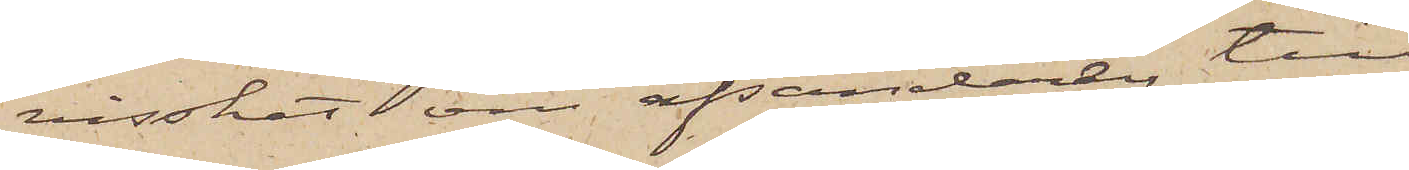visshet om afsändaren till
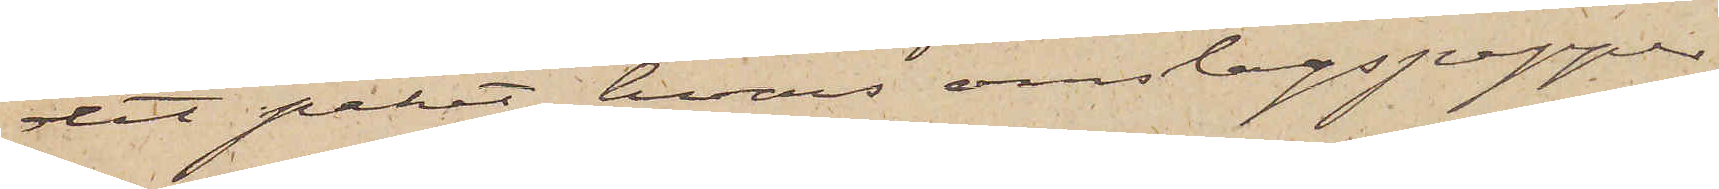det paket, hvars omslagspapper
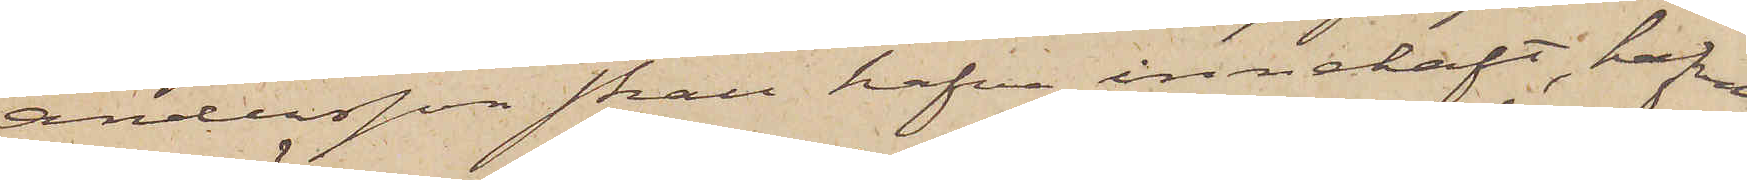Andersson skall hafva innehaft, hafva
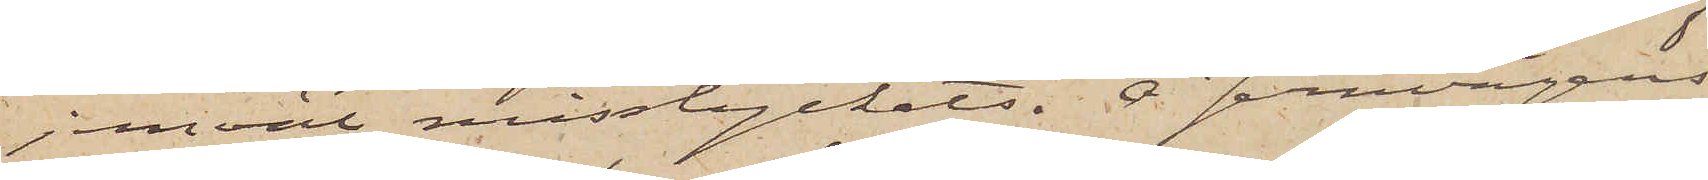jemväl misslyckats. Å Jernvägens
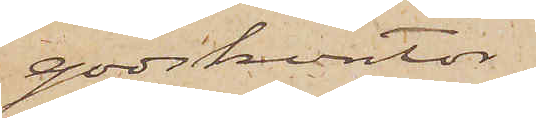godskontor
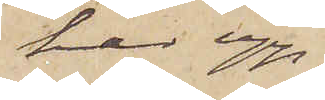har upp¬
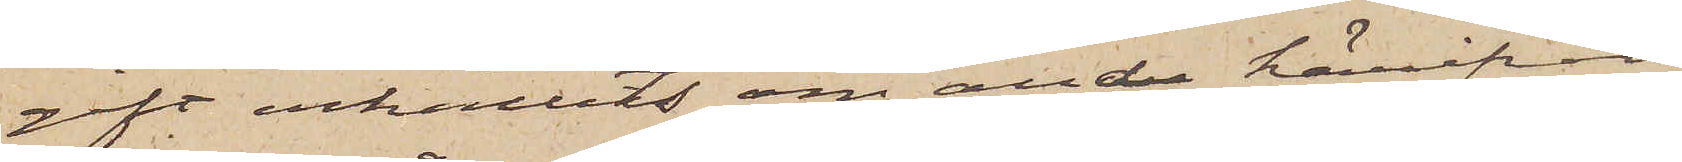gift erhållits om andra härifrån
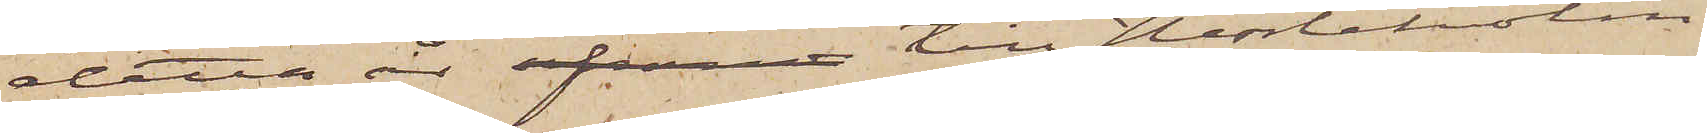detta år afsand till Hessleholm
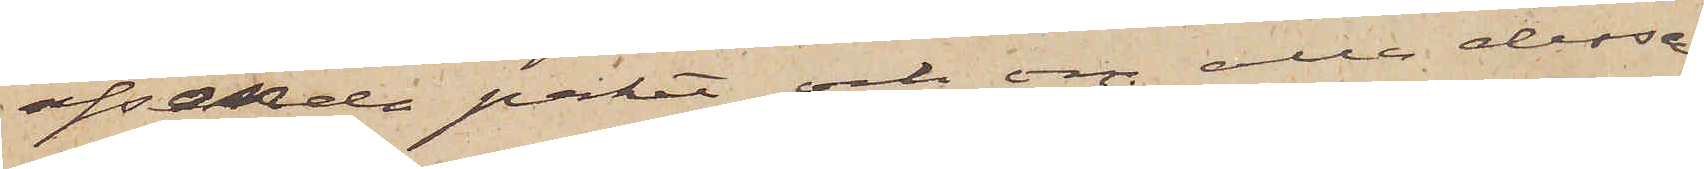afsände paket och om alla dessa
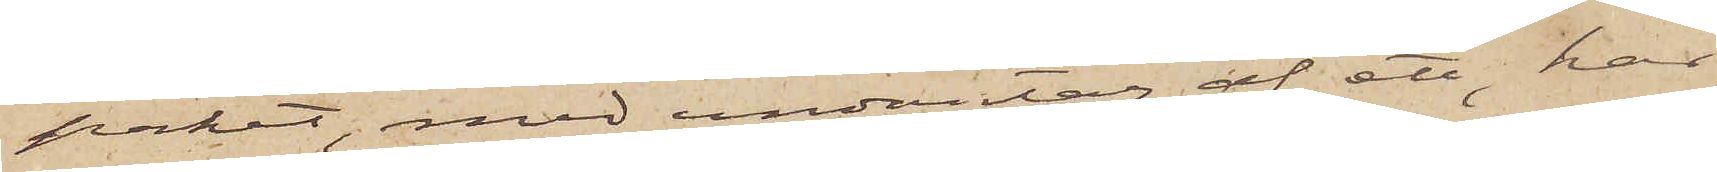paket, med undantag af ett, har
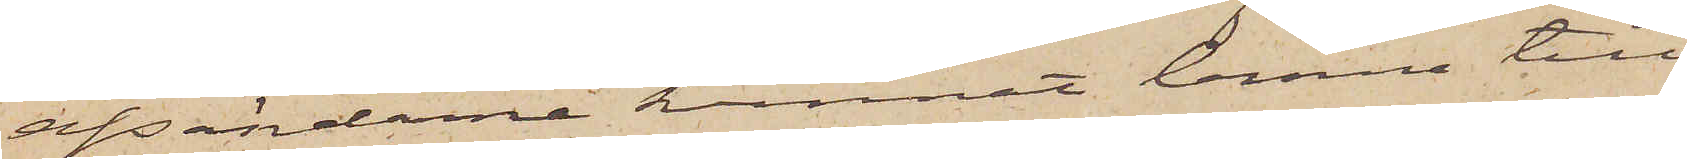afsändarne kunnat lemna till¬
